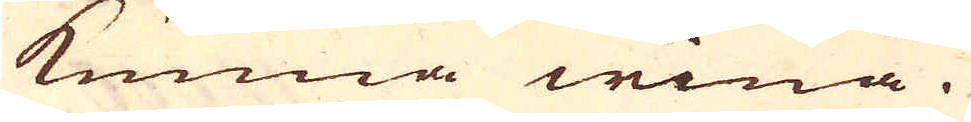kunna wina.
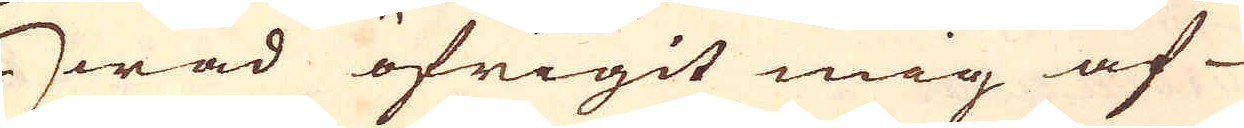Hwad öfrigit mig af-
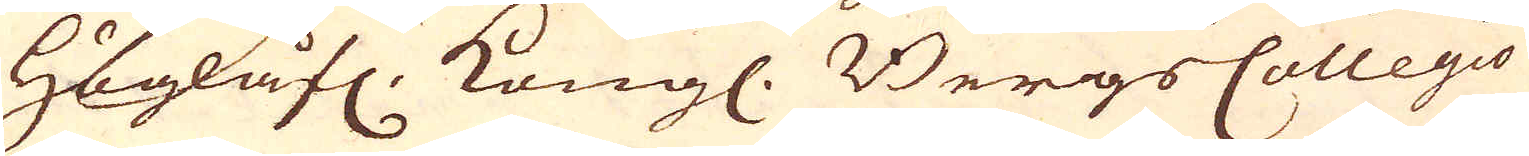Höglåfl: Kungl. BergsCollegio
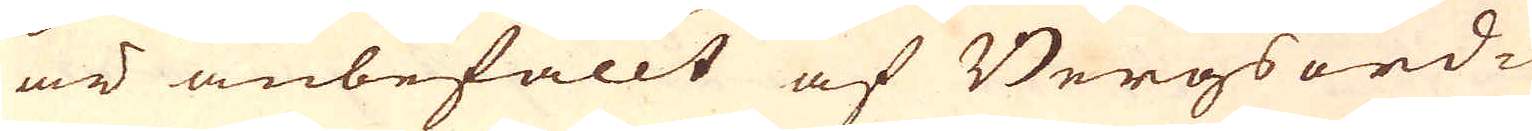är anbefallt af Bergsord-
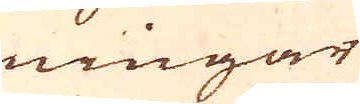ningar
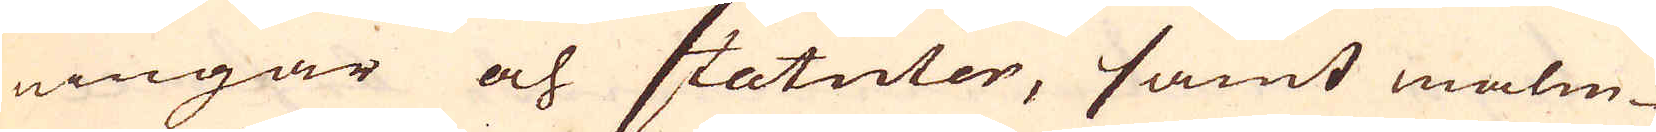ningar och statuter, samt malm-
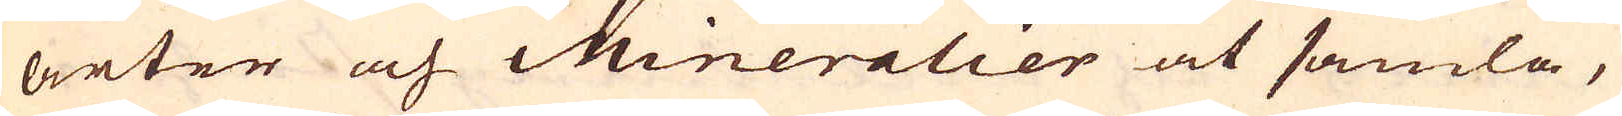arter och Mineralier at samla,
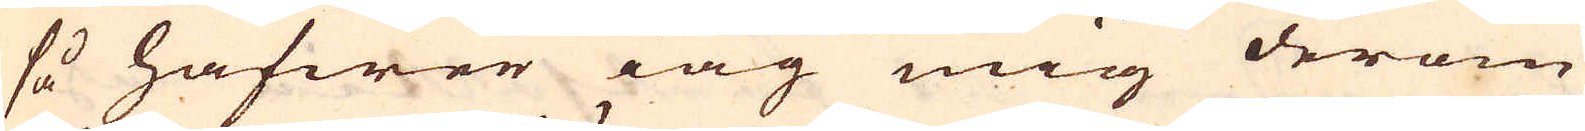så hafwer iag mig derom
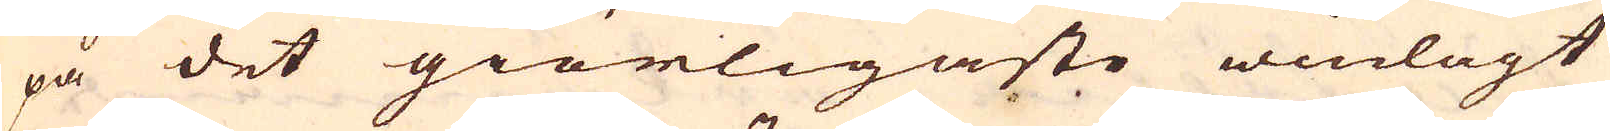på det giörligaste winlagt
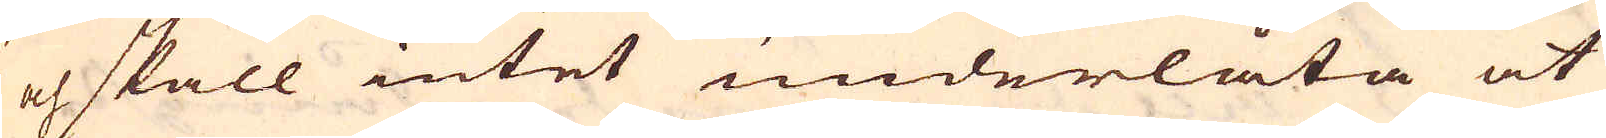och skall intet underlåta at
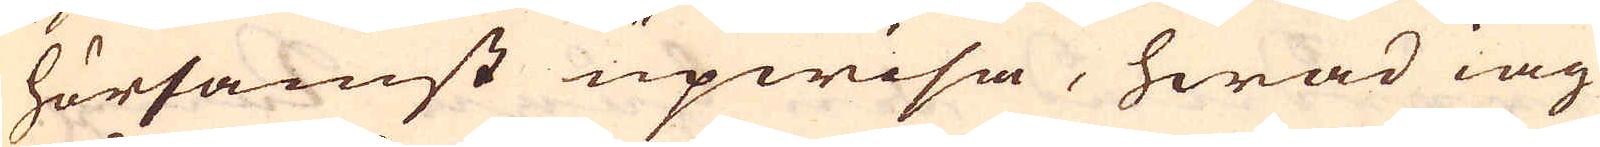hörsamst upwisa, hwad iag
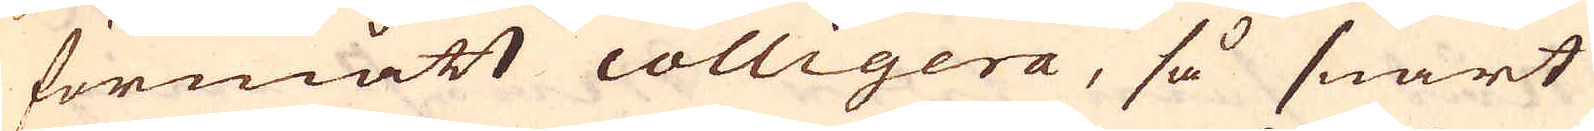förmått colligera, så snart
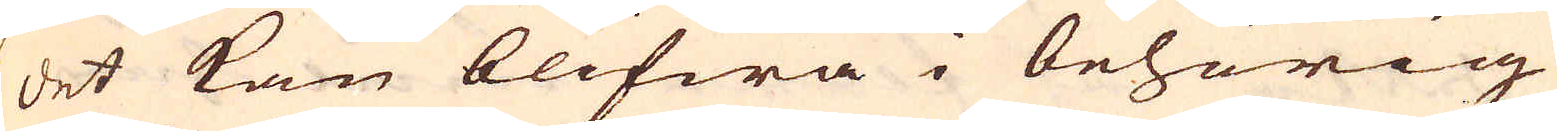det kan blifwa i behörig
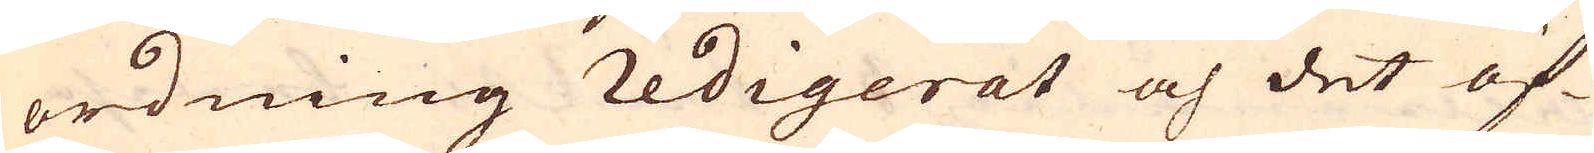ordning redigerat och det öf-
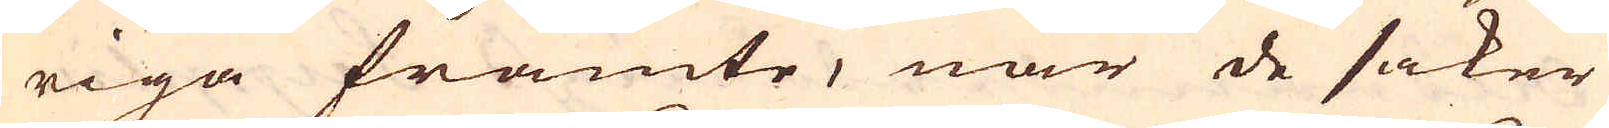riga framte, när de saker
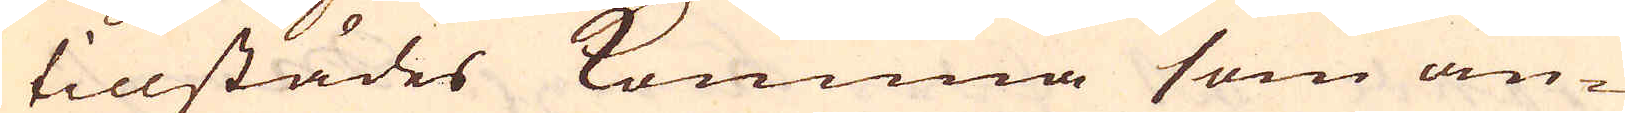tillstädes komma som än-
